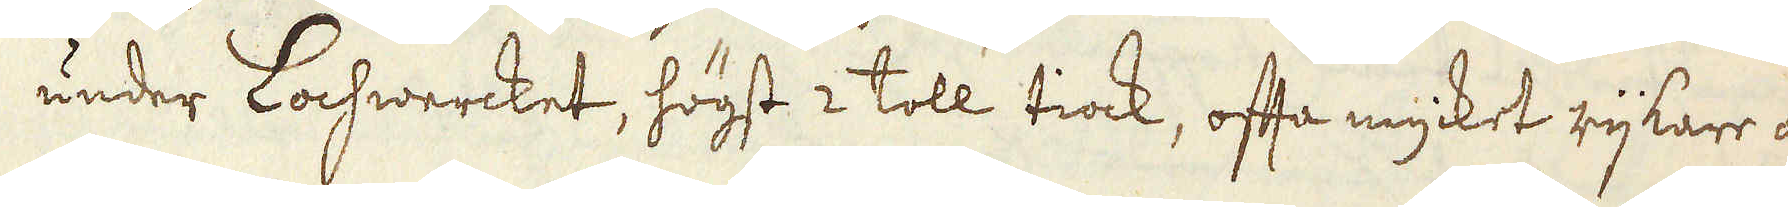under Lochwercket, högst 2 toll tiock, offta mycket rijkare än
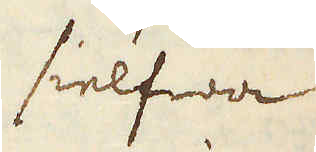sielfwa
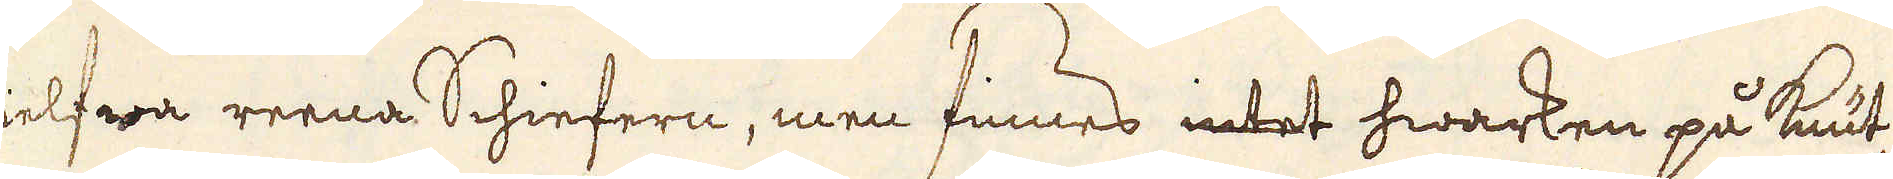sielfwa reena Schiefern, men finnes intet hwarken på Knut-
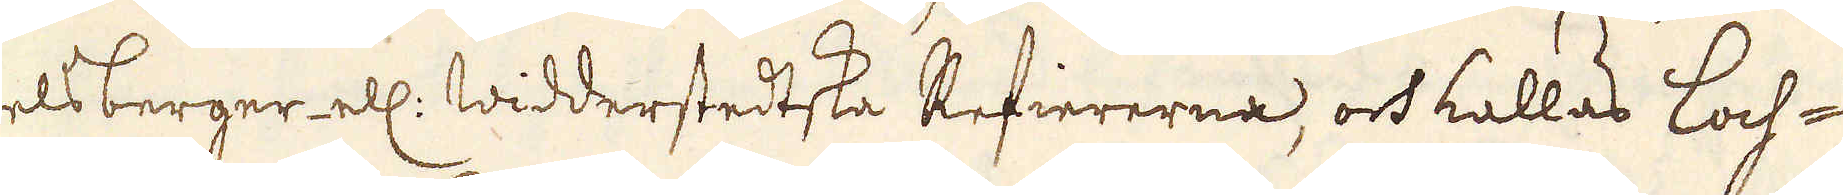telsberger ell: Widderstedtska Refiererna, och kallas Loch-
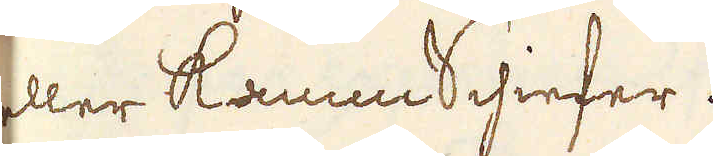eller Kamm Schiefer.
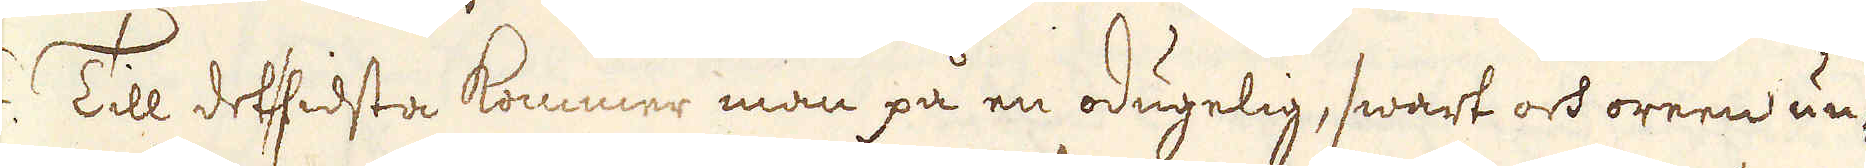/14. Till det sidsta kommer man på en odugelig, swart och oreen un-
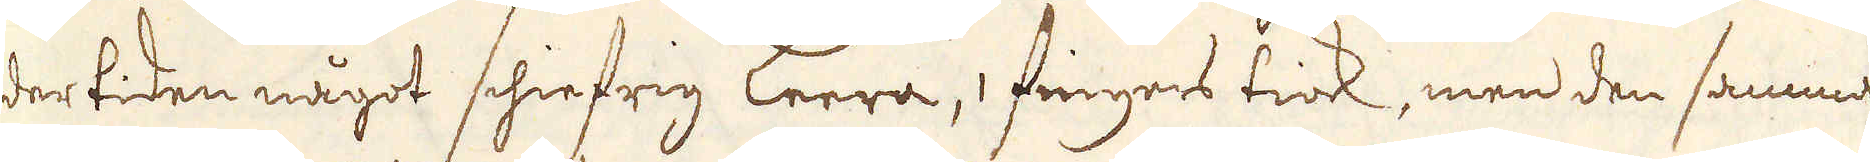der tiden något schiefrig Leera, 1 fingers tiok, men den samma
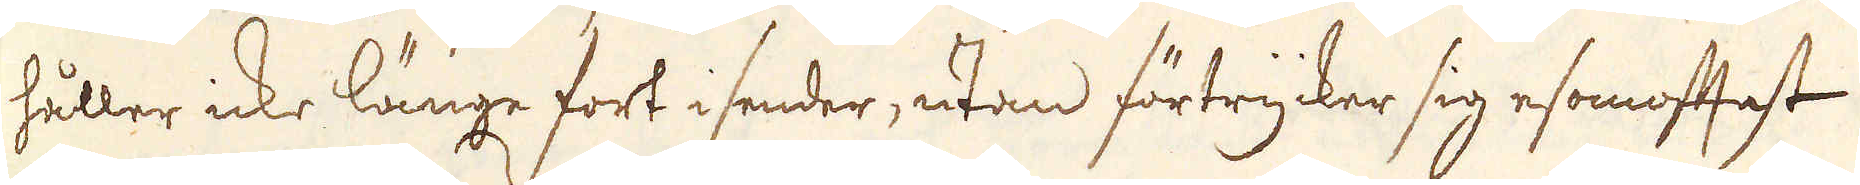håller icke länge fort i sender, utan förtrycker sig esomoftast
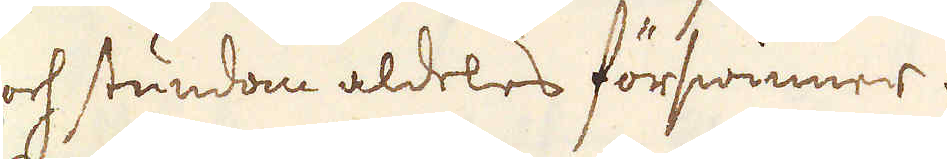och stundom aldeles förswinner.
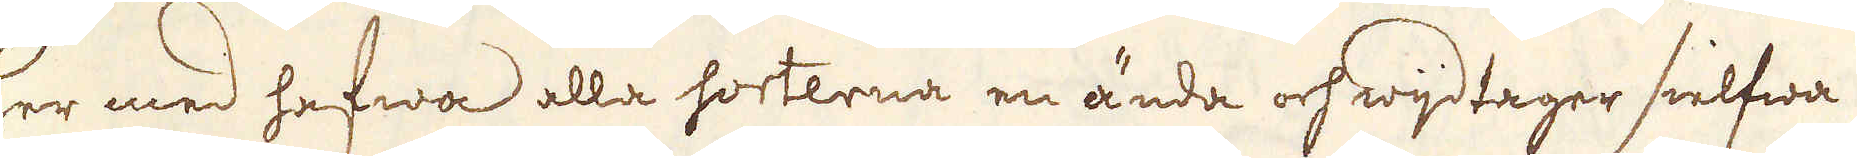Her med hafwa alla sorterna en ända och wijdtager sielfwa
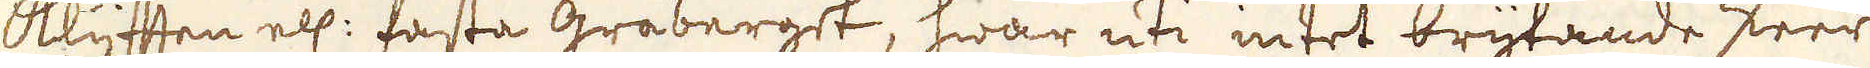Klyfften ell: fasta gråberget, hwar uti intet brytande skeer
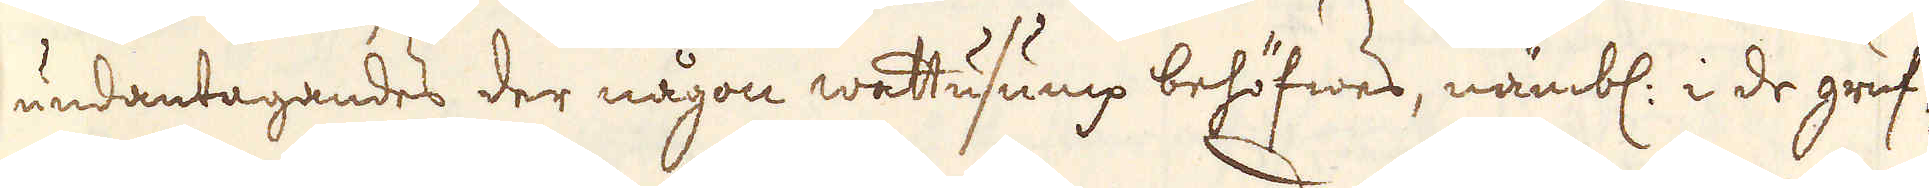undantagandes der någon wattusump behöfwes, nämbl: i de gruf-
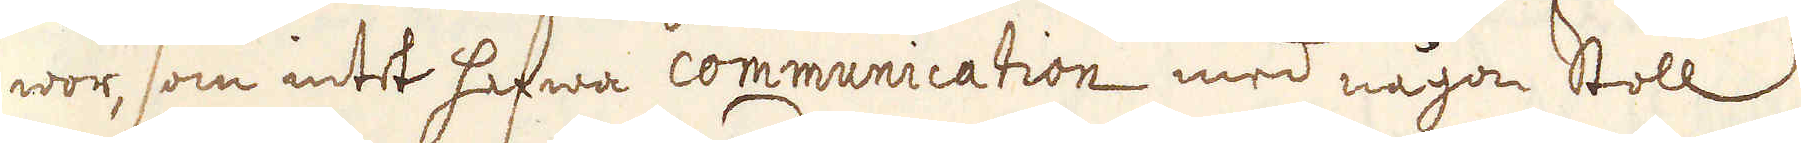wor, som intet hafwa communication med någon Stoll;
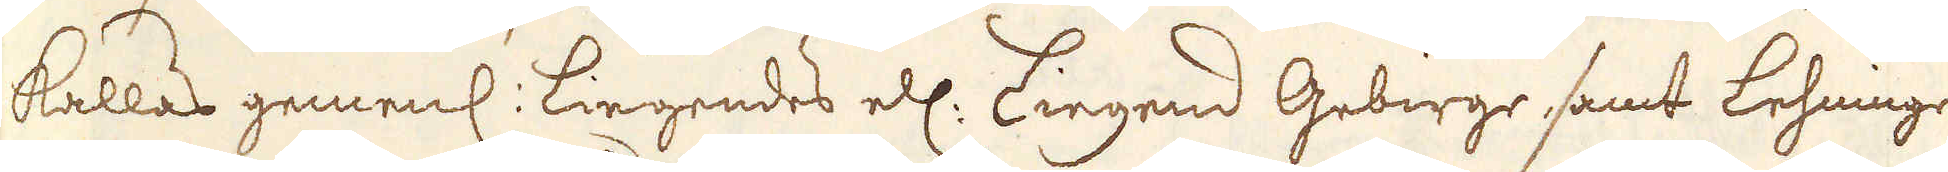kallas gemenl: Liegendes ell: Liegend Gebirge samt Lehninge
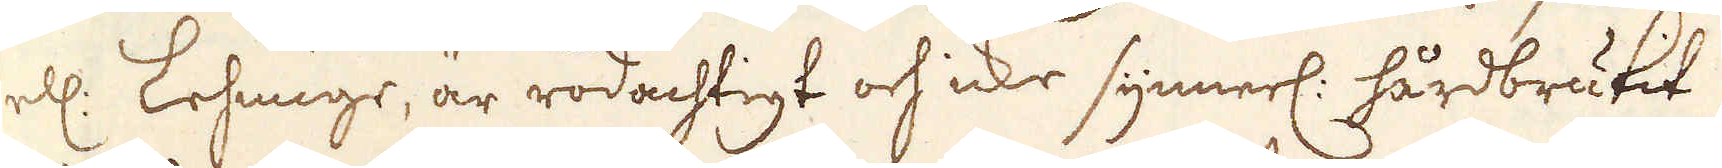ell: Lehmige, är rödachtigt och icke synnerl: hårdbrutit.
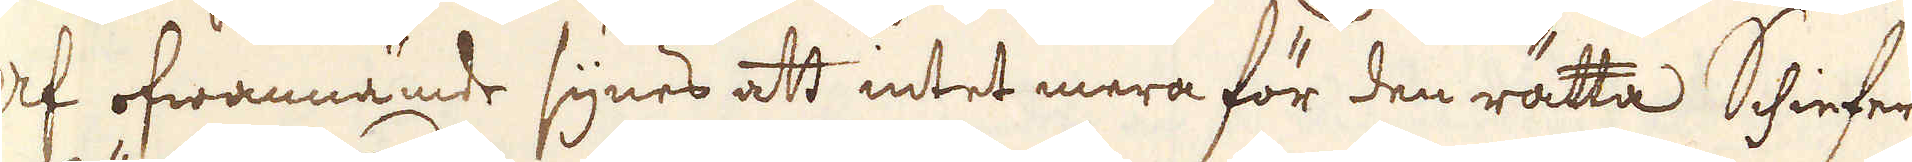Af ofwannämde synes att intet mera för den rätta Schiefer-
